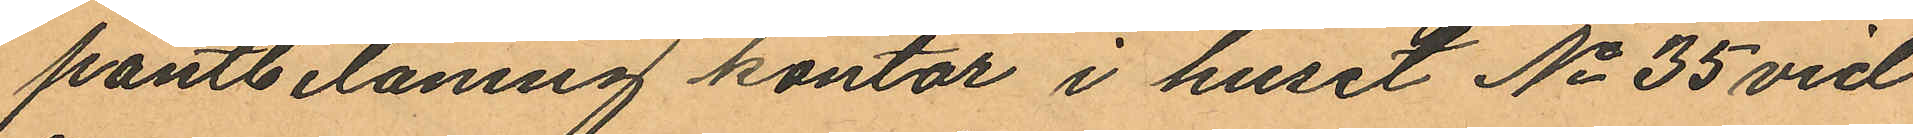pantbelåning kontor i huset No 35 vid
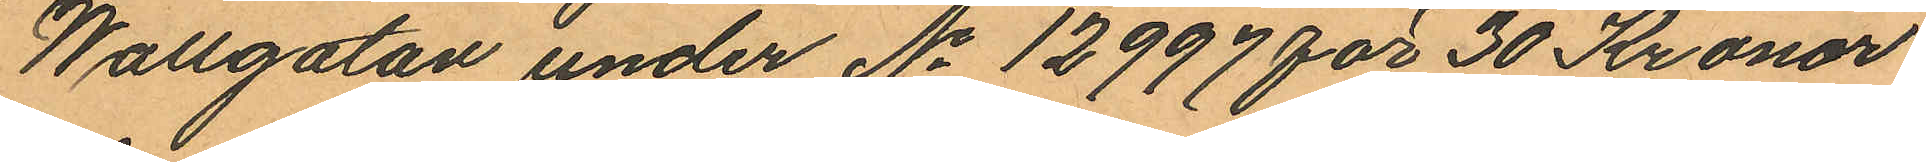Wallgatan under No 12997 för 30 Kronor
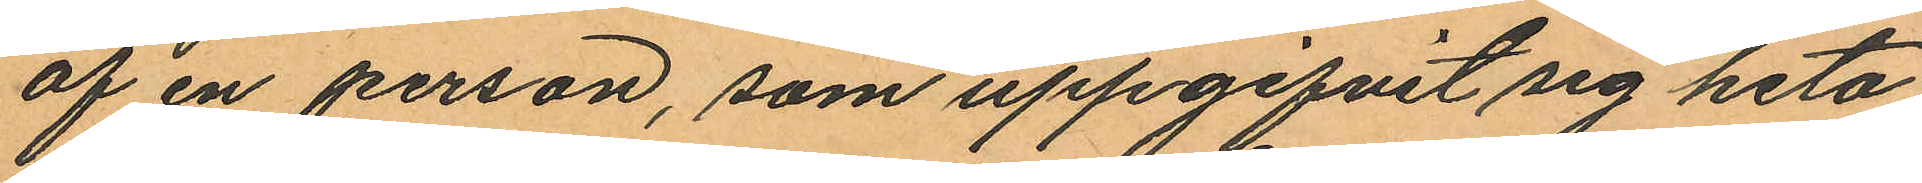af en person, som uppgifvit sig heta
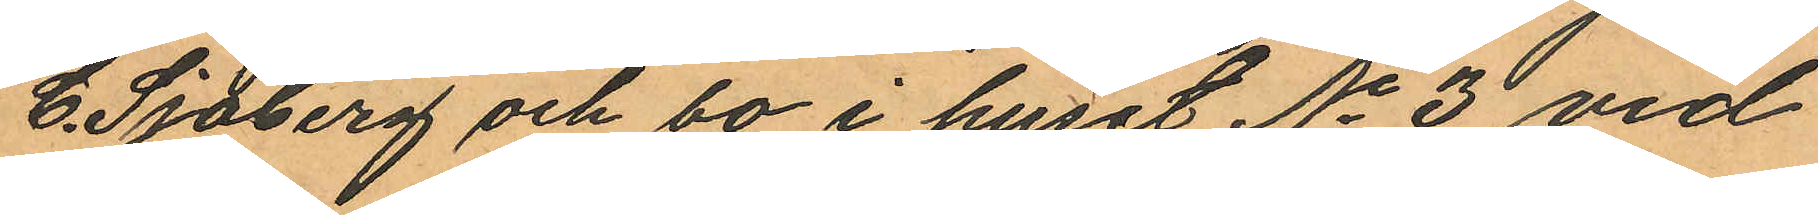C. Sjöberg och bo i huset No 3 vid
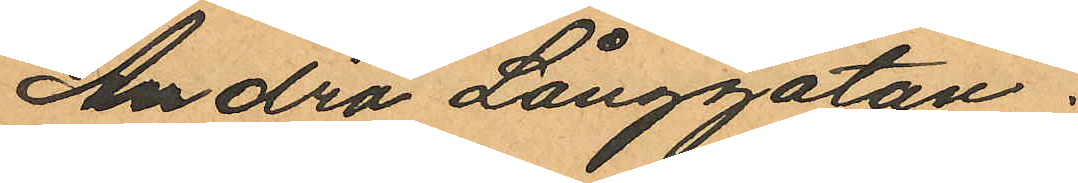Andra Långgatan.
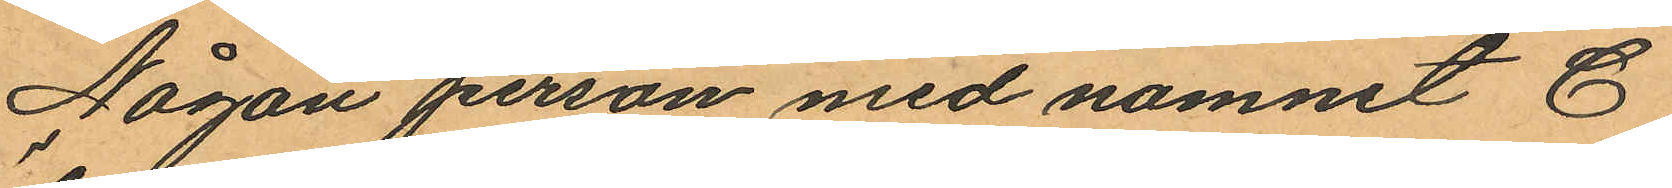Någon person med namnet C
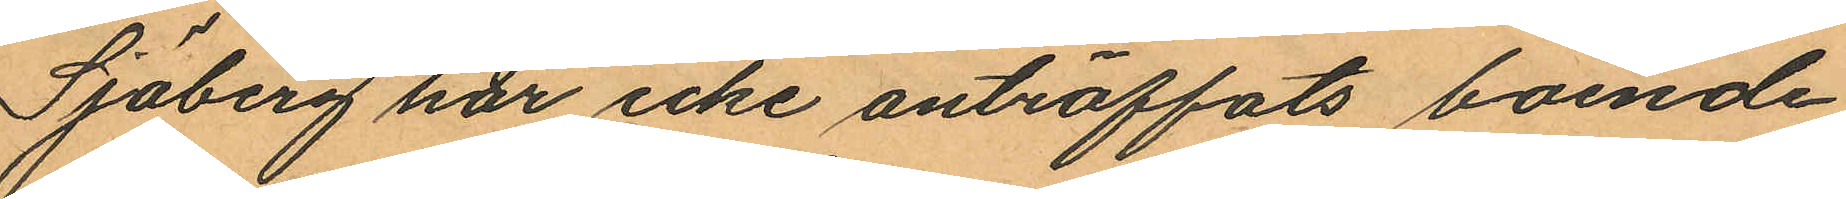Sjöberg har icke anträffats boende
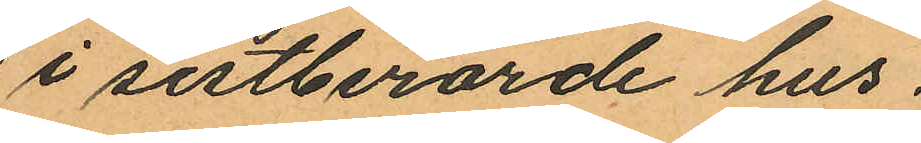i sistberörde hus.
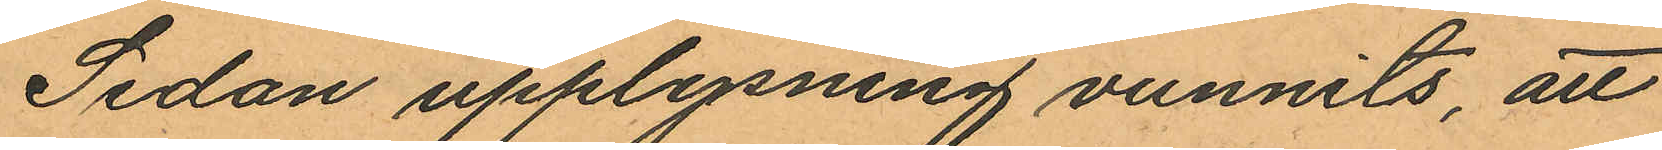Sedan upplysning vunnits, att
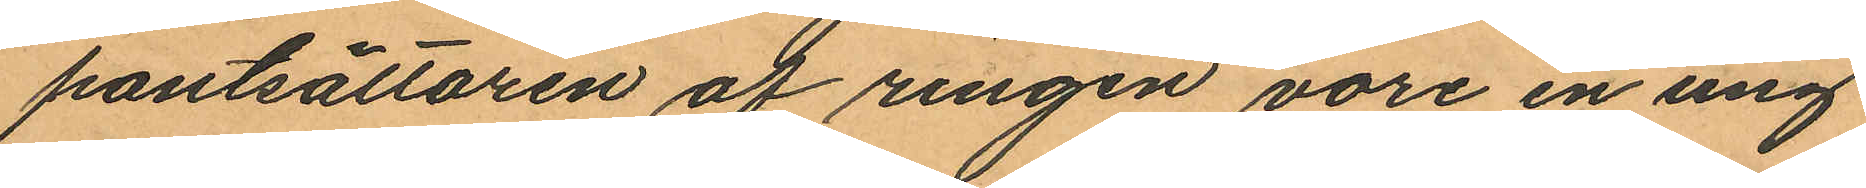pantsättaren af ringen vore en ung
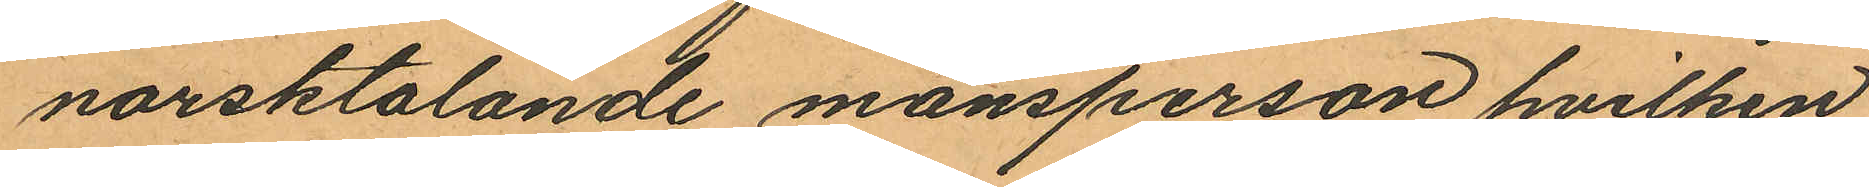närsktalande mansperson hvilken
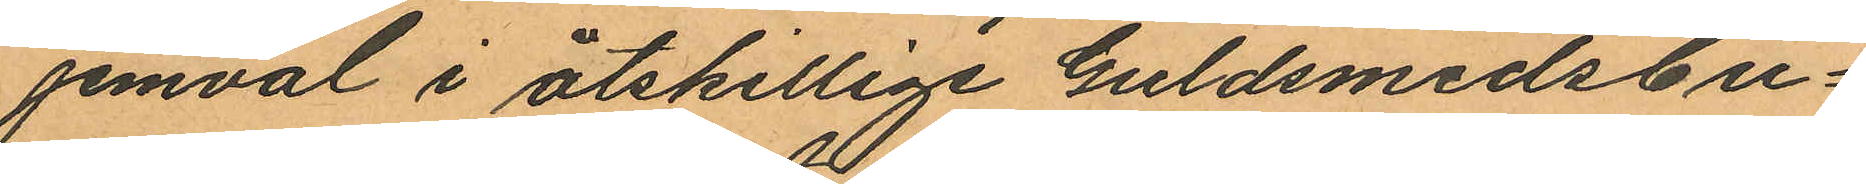jemväl i åtskillige Guldsmedsbu¬
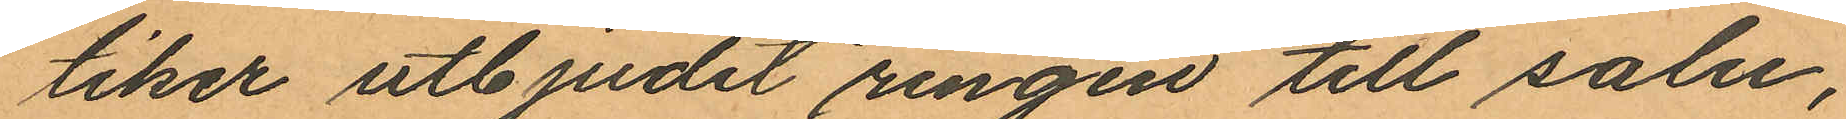tiker utbjudit ringen till salu,
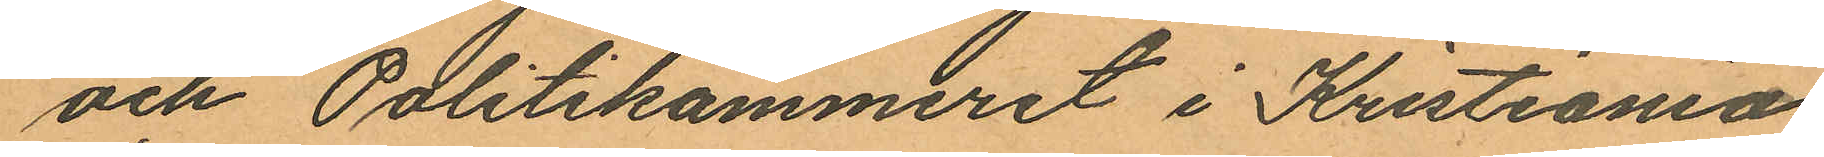och Politikammeret i Kristiania
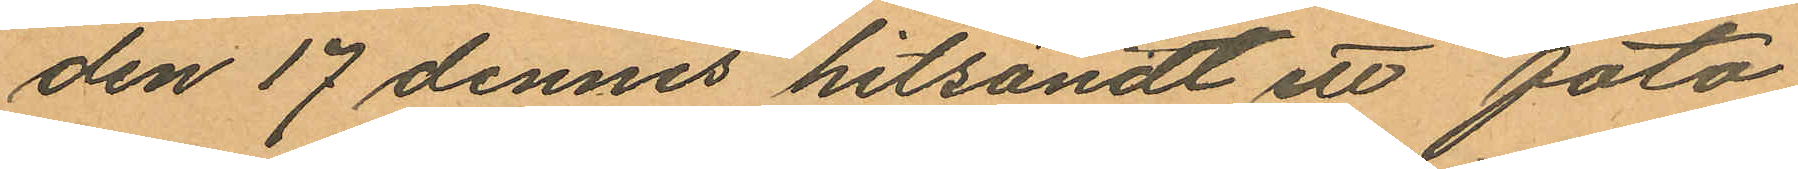den 17 dennes hitsändt ett foto¬
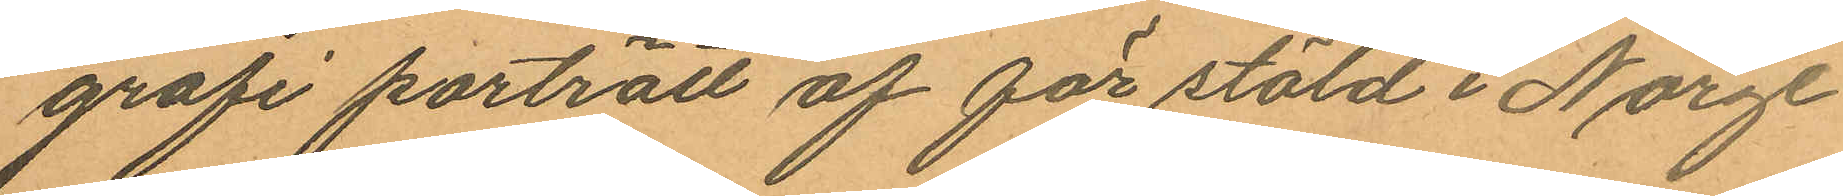grafi porträtt af för stöld i Norge
